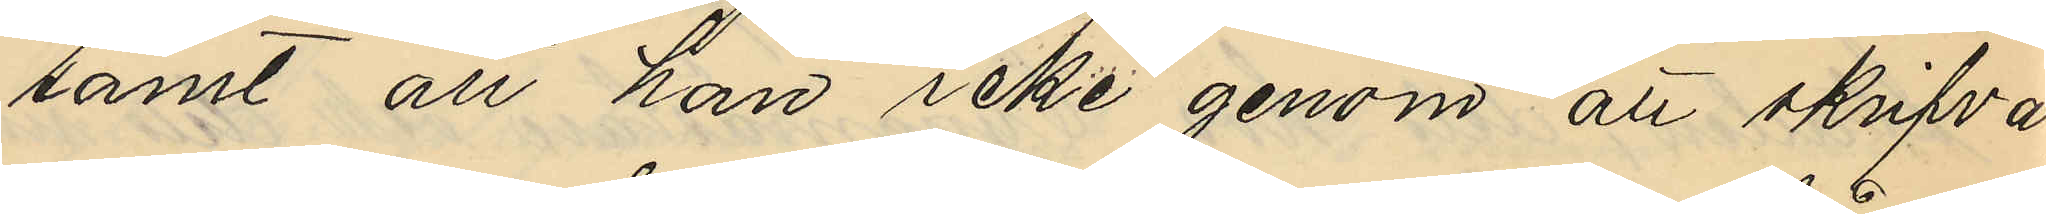samt att han icke genom att skrifva
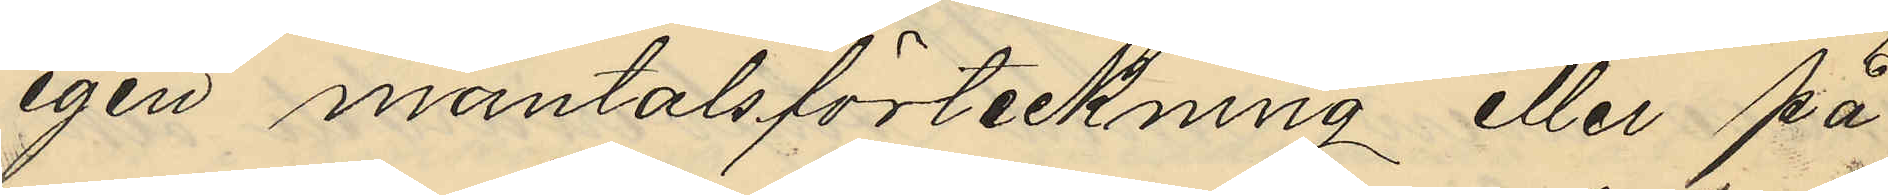egen mantalsförteckning eller på
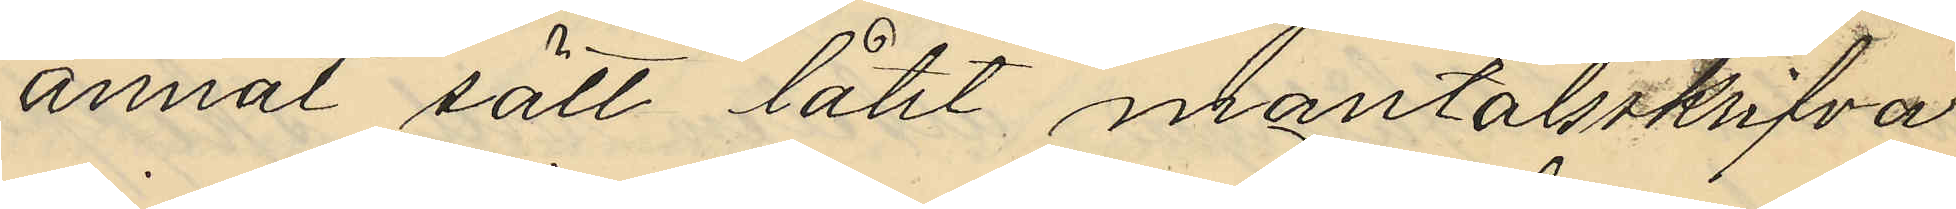annat sätt låtit mantalsskrifva
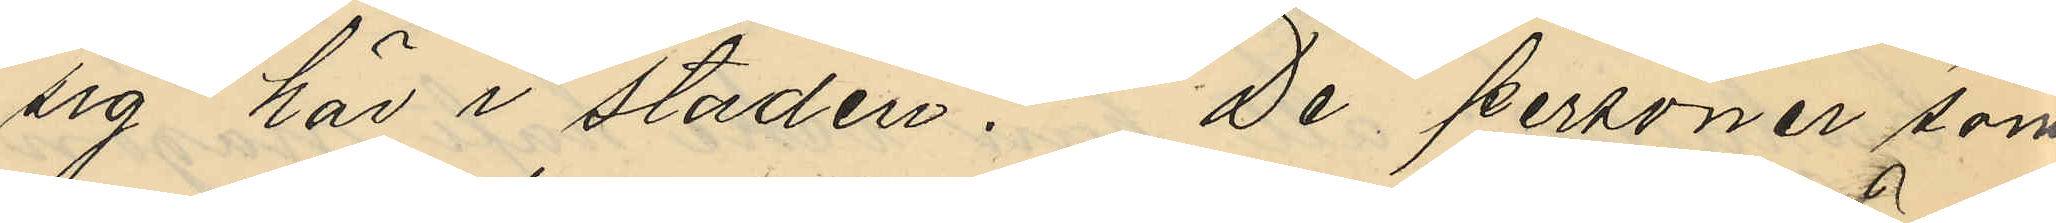sig här i staden. De personer som
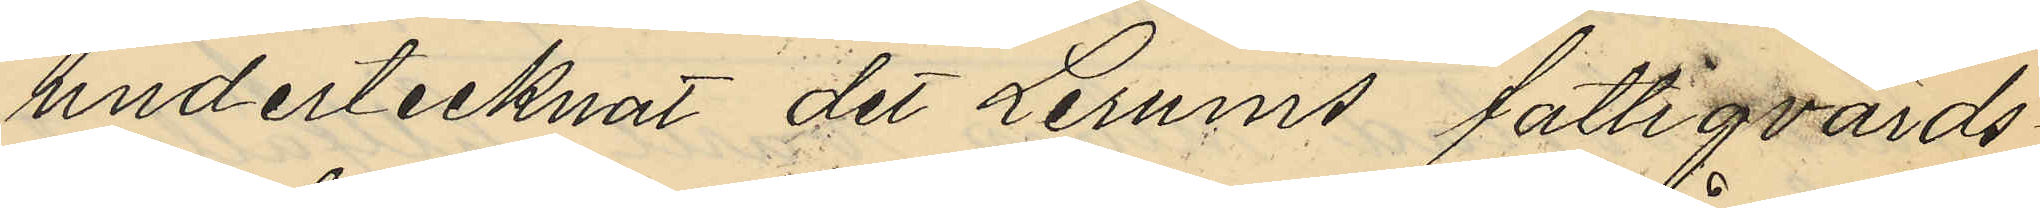undertecknat det Lerums fattigvårds¬
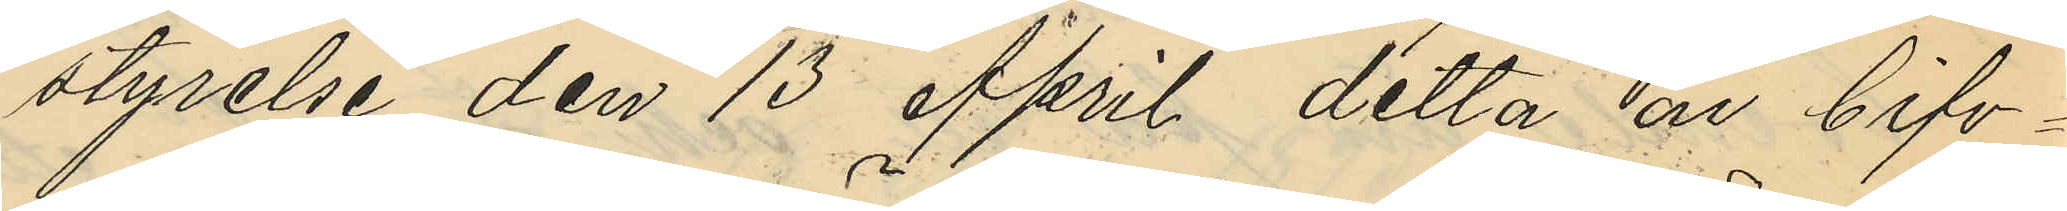styrelse den 13 April detta år bifo¬
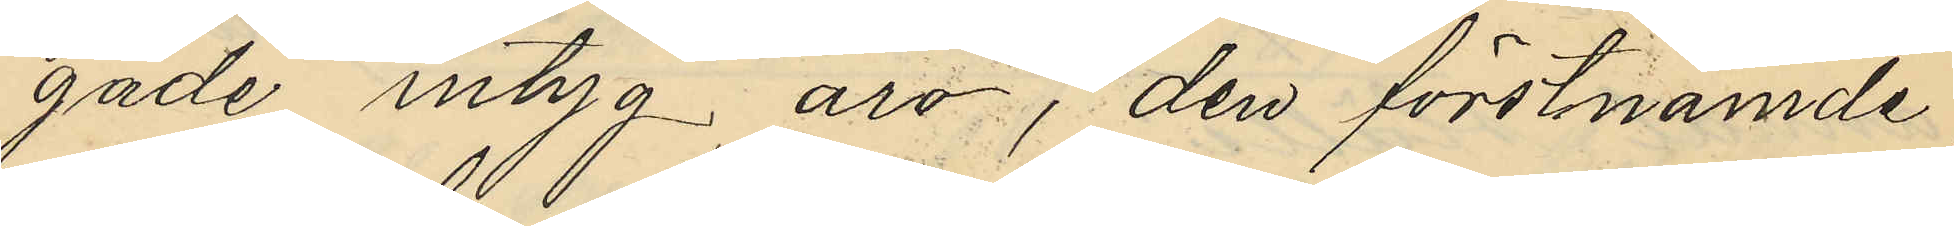gade intyg äro, den förstnämnde,
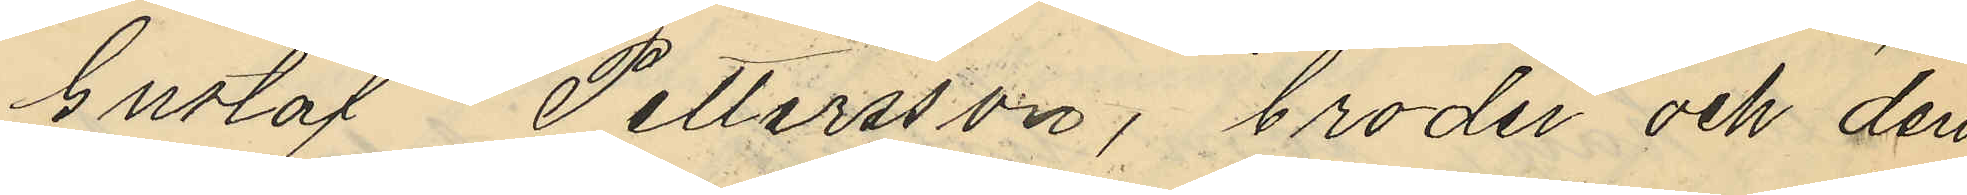Gustaf Pettersson, broder och den
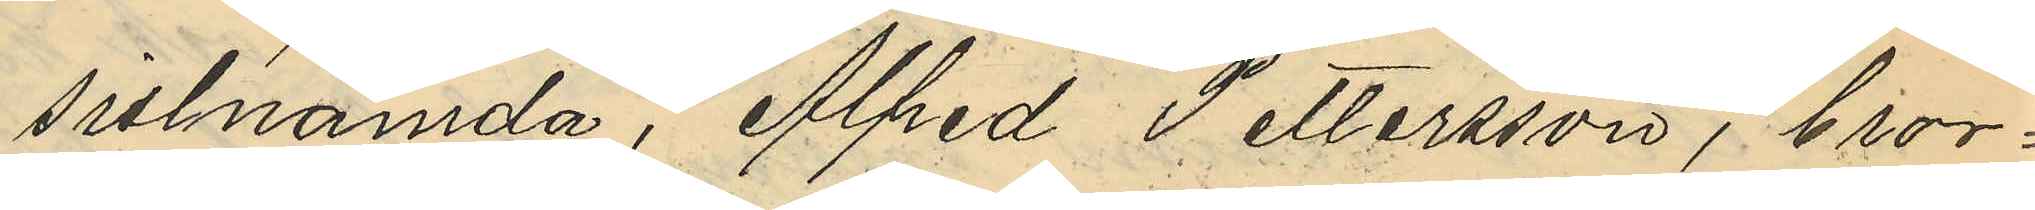sistnämnda, Alfred Pettersson, bror¬
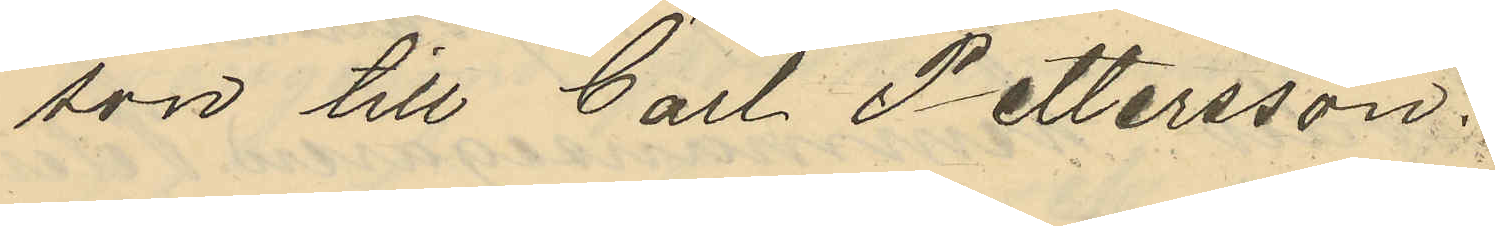son till Carl Pettersson.
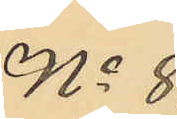No 8.
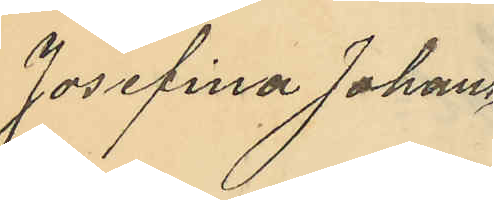Josefina Johans¬
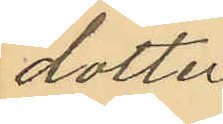dotter
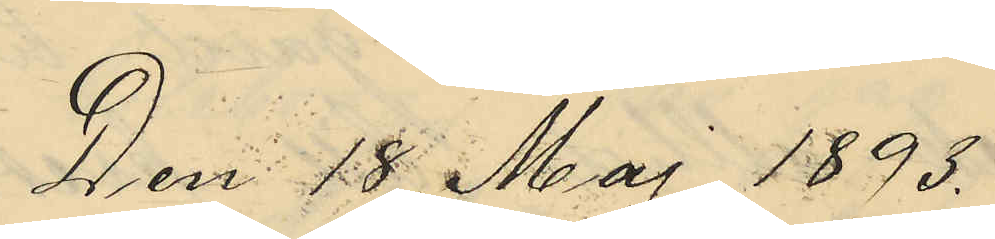Den 18 Maj 1893.
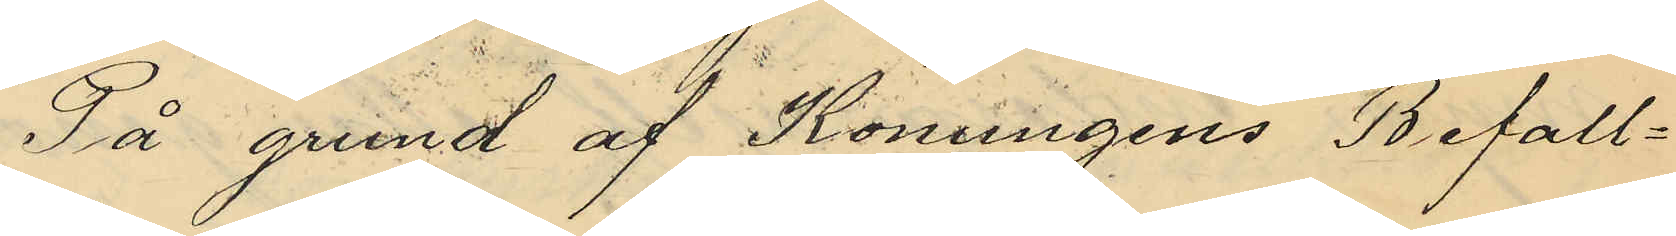På grund af Konungens Befall¬
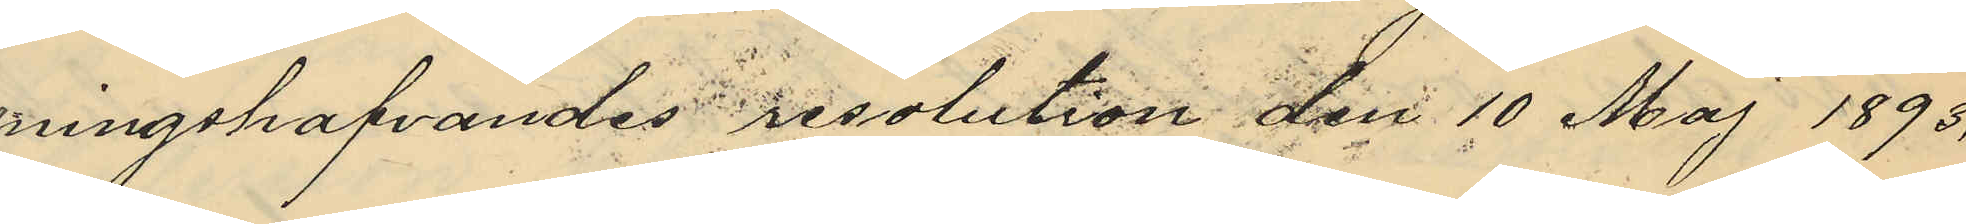ningshafvandes resolution den 10 Maj 1893,
